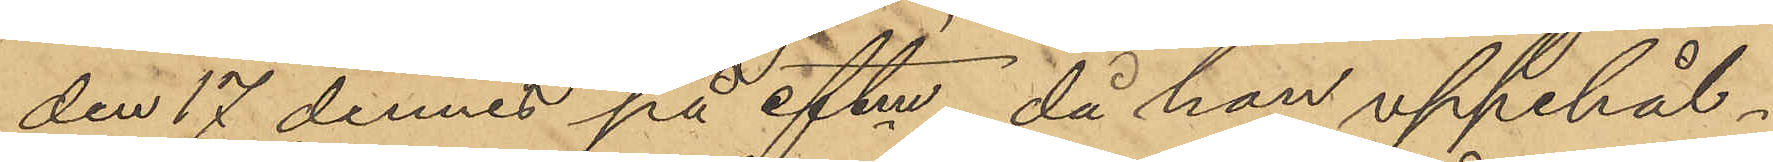den 17 dennes på eftm, då han uppehål¬
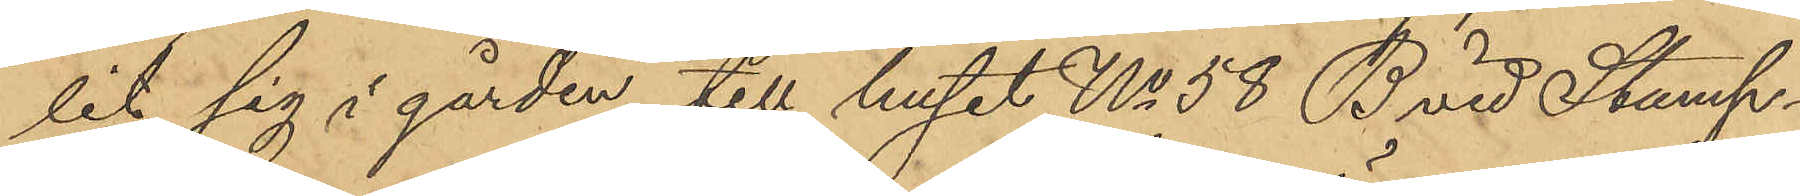lit sig i gården till huset No 58 B vid Stamp¬
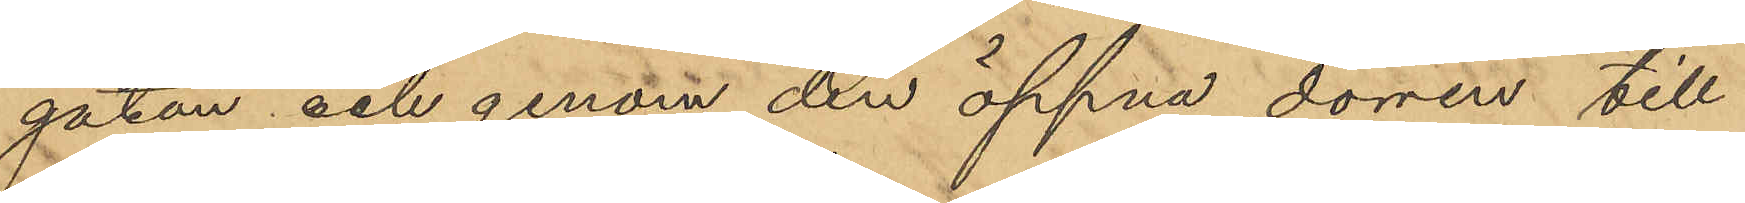gatan och genom den öppna dörren till
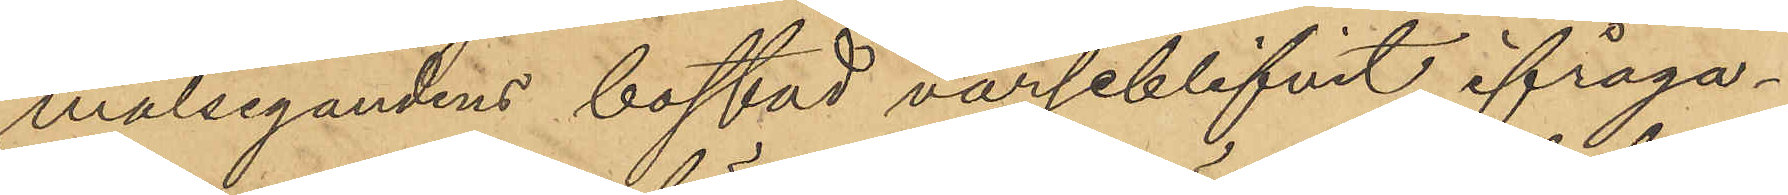målsegandens bostad varseblifvit ifråga¬
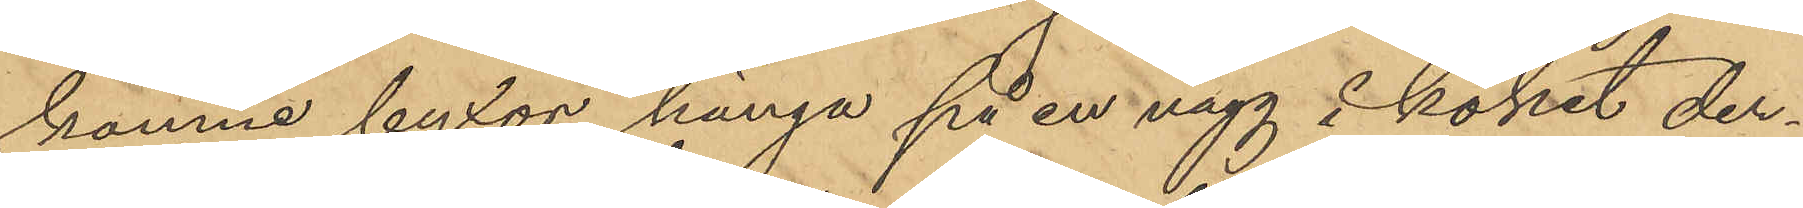komne byxor hänga på en vägg i köket der¬
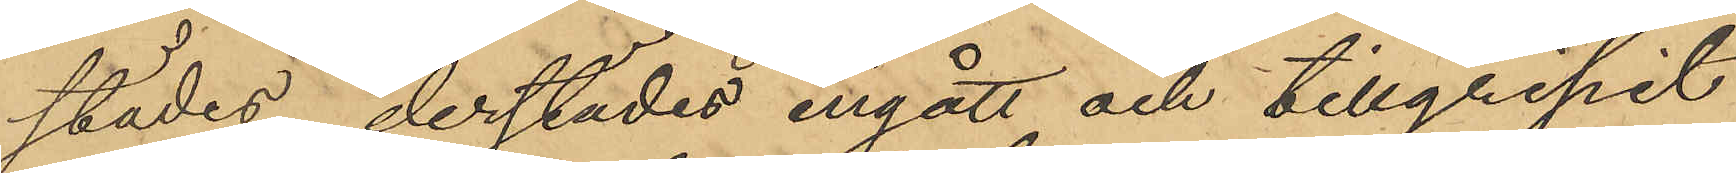städes, derstädes ingått och tillgripit
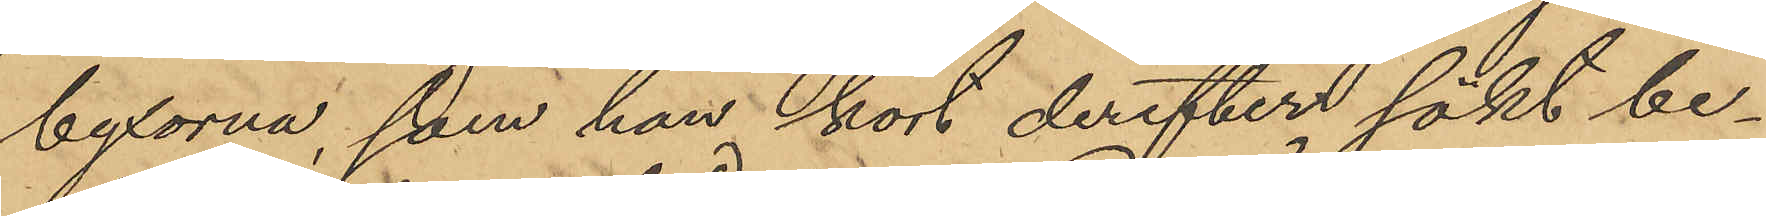byxorna, som han kort derefter sökt be¬
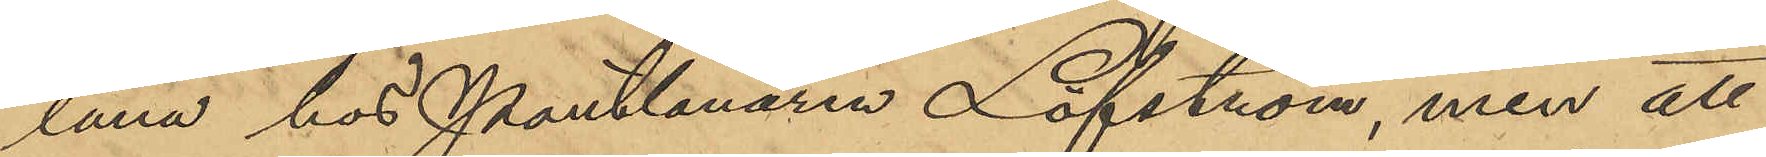låna hos Pantlånaren Löfström, men att
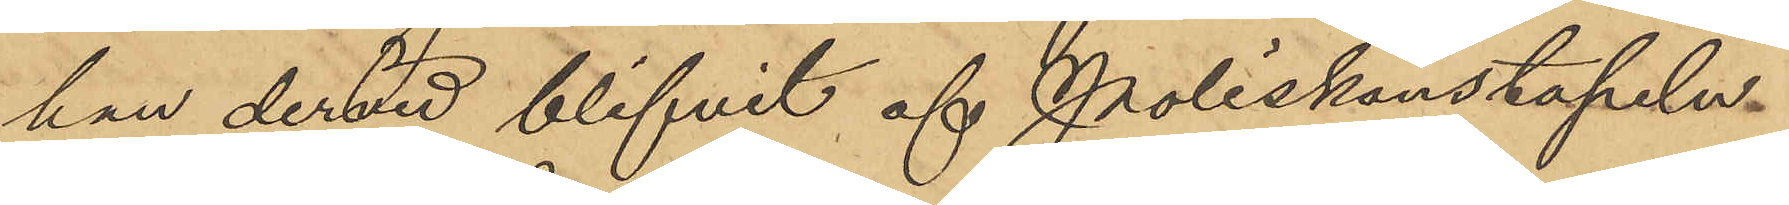han dervid blifvit af Poliskonstapeln
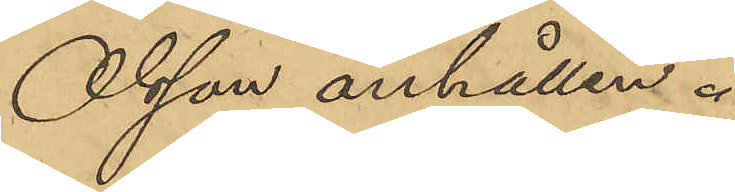Olsson anhållen.
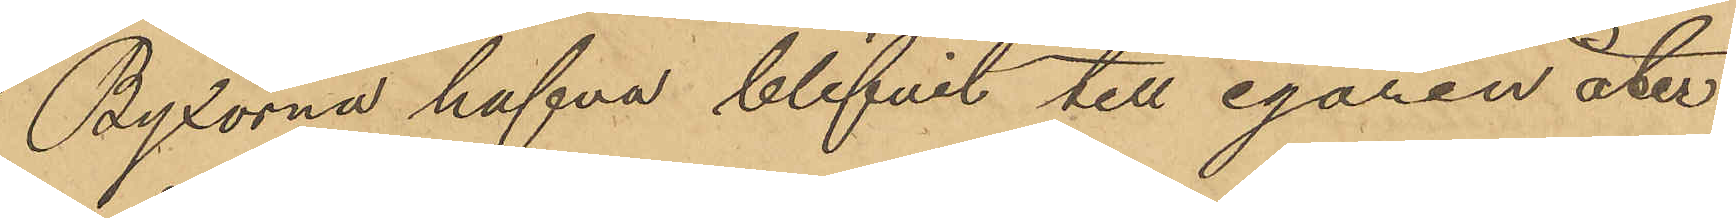Byxorna hafva blifvit till egaren åter¬
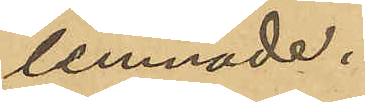lemnade.
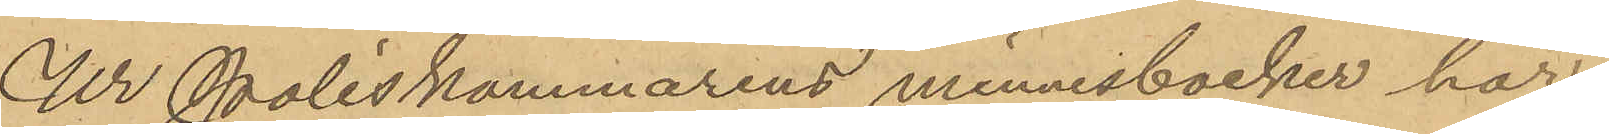Ur Poliskammarens minnesböcker har
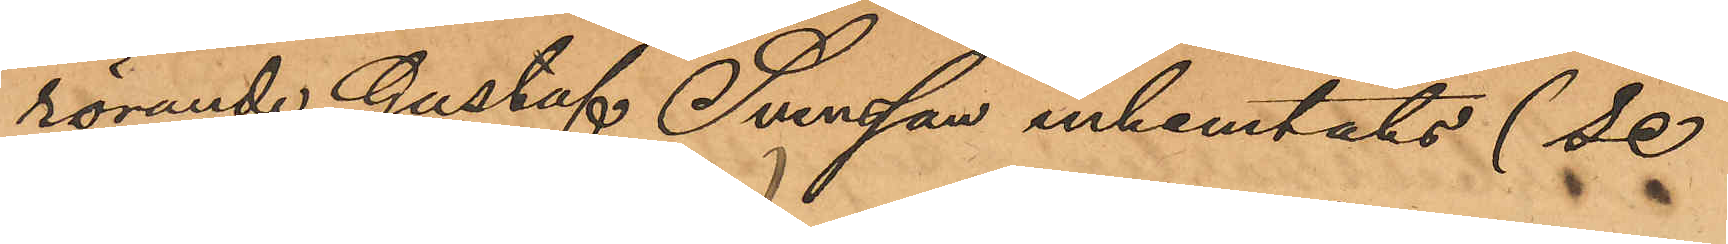rörande Gustaf Svensson inhemtats (Se
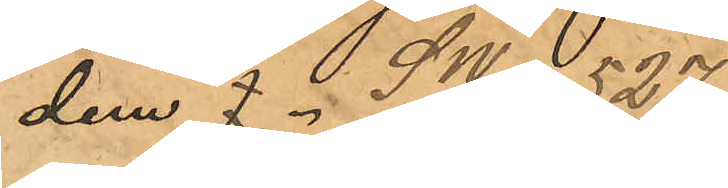dem SW/4 527)
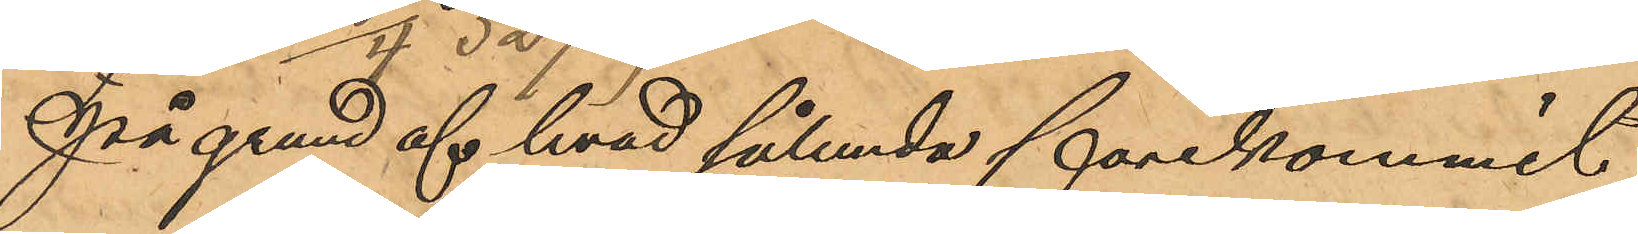På grund af hvad sålunda förekommit
